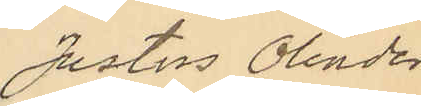Justus Olinder
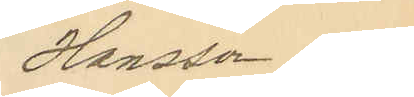Hansson och
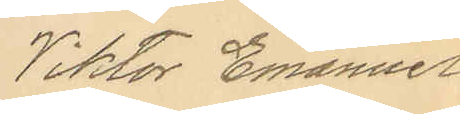Viktor Emanuel
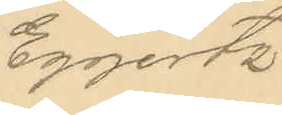Eggertz.
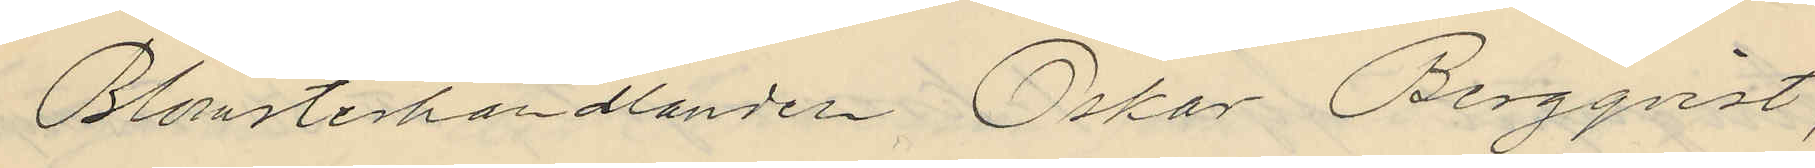Blomsterhandlanden Oskar Begqvist,
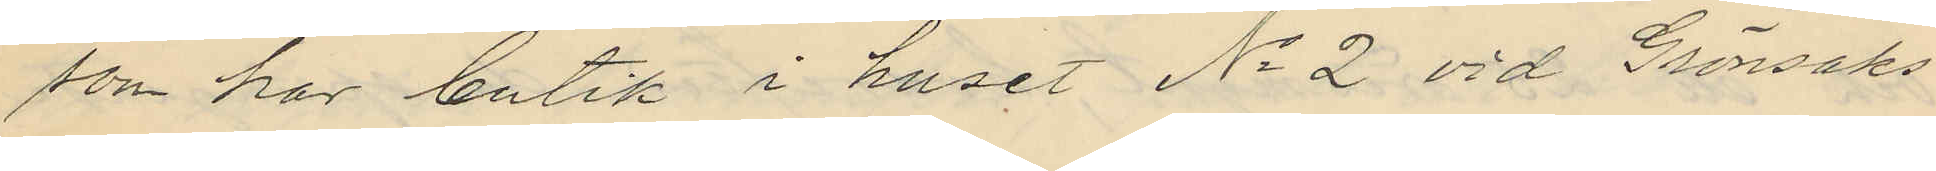som har butik i huset No 2 vid Grönsaks¬
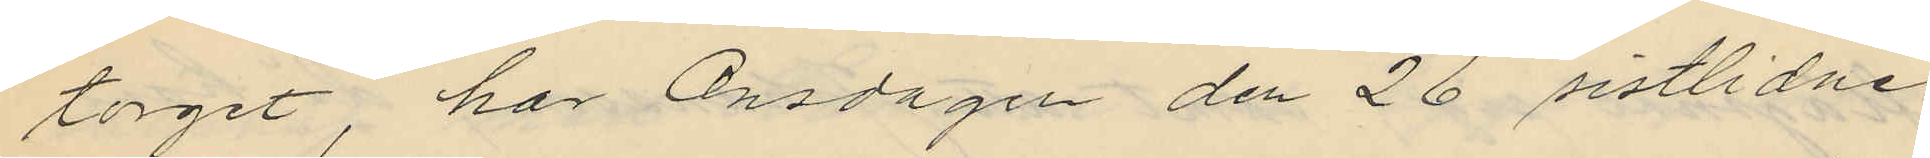torget, har Onsdagen den 26 sistlidne
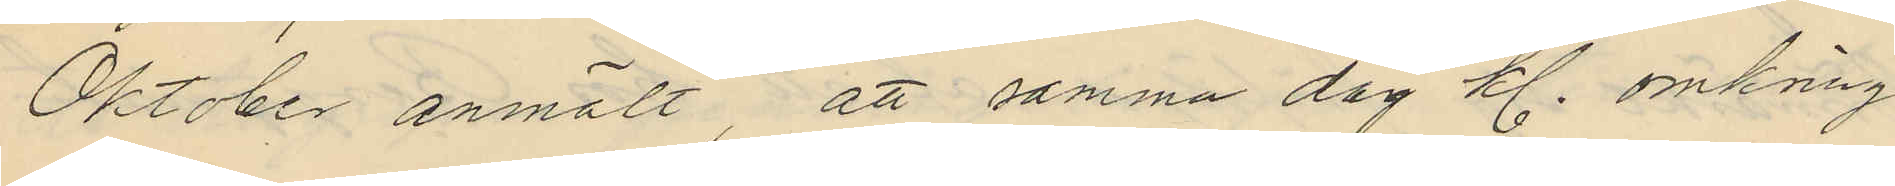Oktober anmält, att samma dag kl. omkring
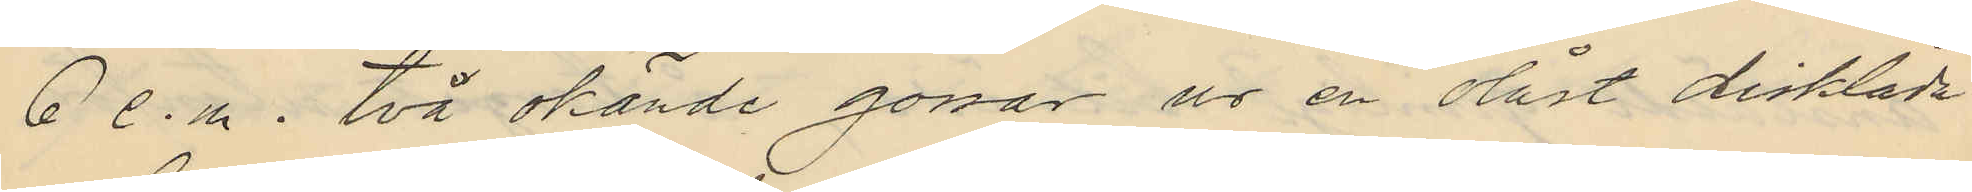6 e.m. två okände gossar ur en olåst disklåda
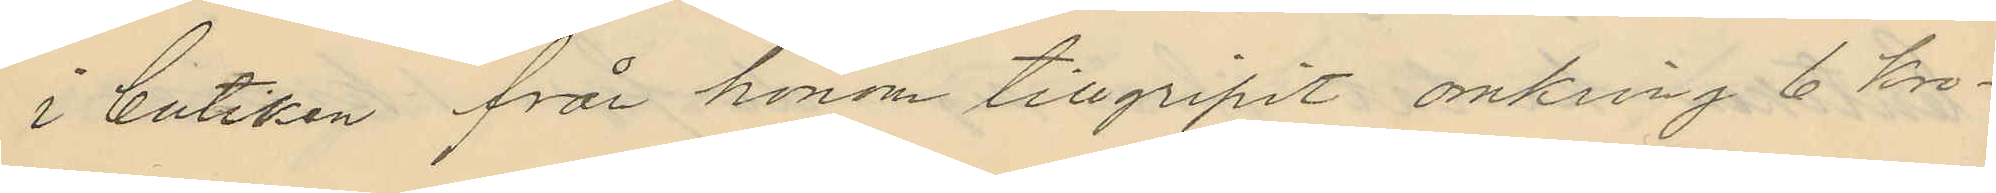i butiken från honom tillgripit omkring 6 Kro¬
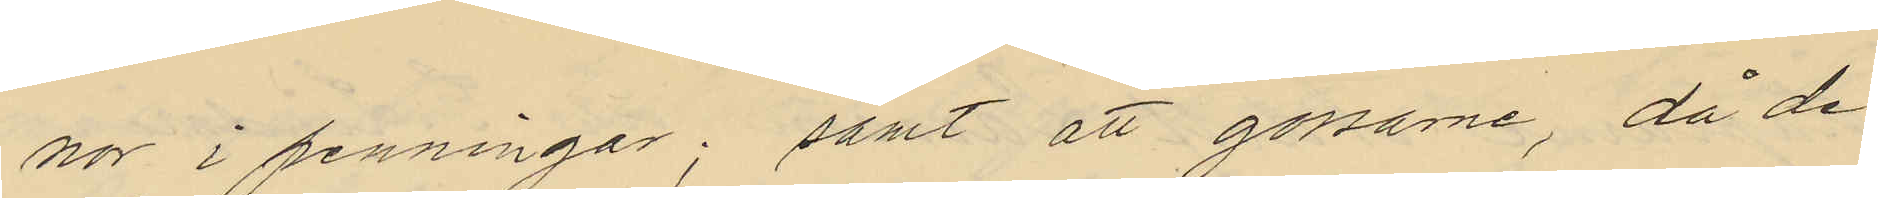nor i penningar; samt att gossarne, då de
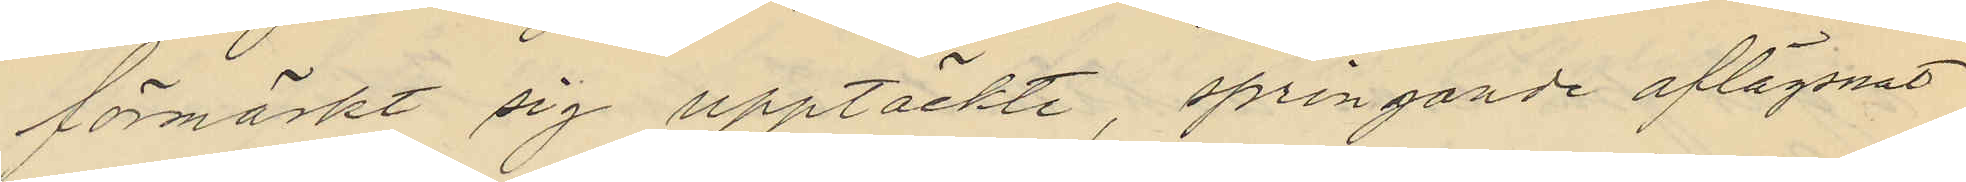förmärkt sig upptäckte, springande aflägsnat
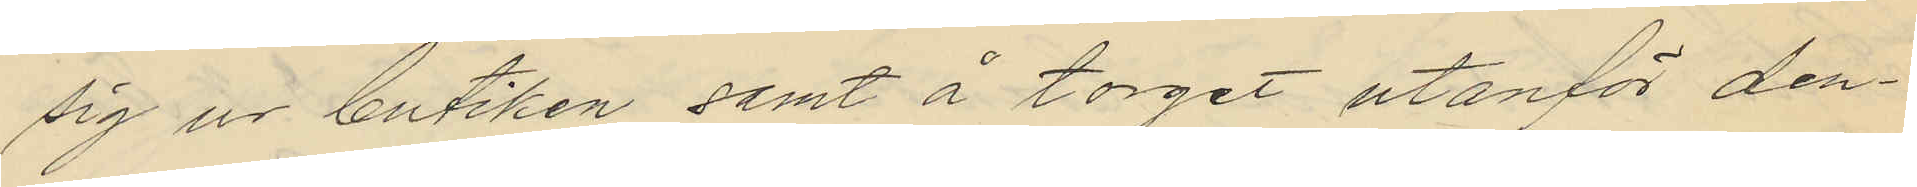sig ur butiken samt å torget utanför den¬
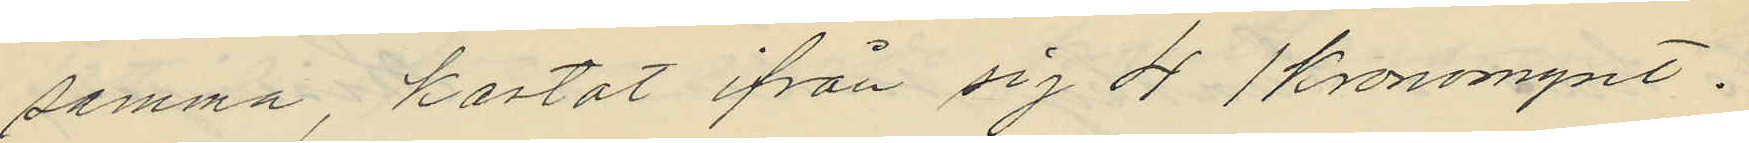samma, kastat ifrån sig 4 1 kronomynt.
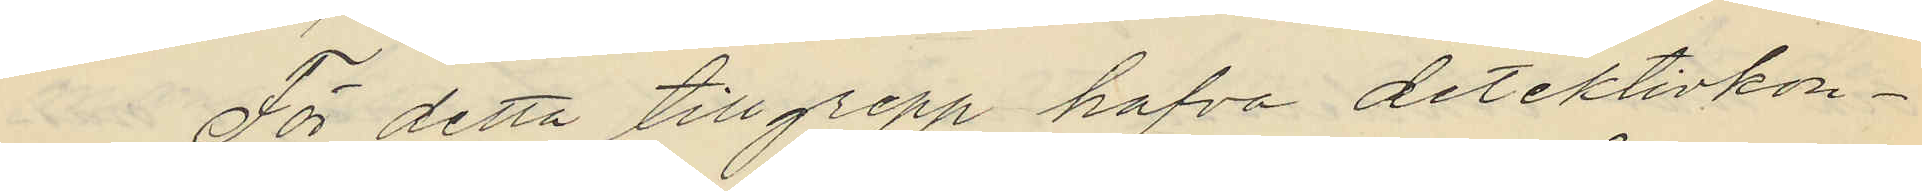För detta tillgrepp hafva detektivkon¬
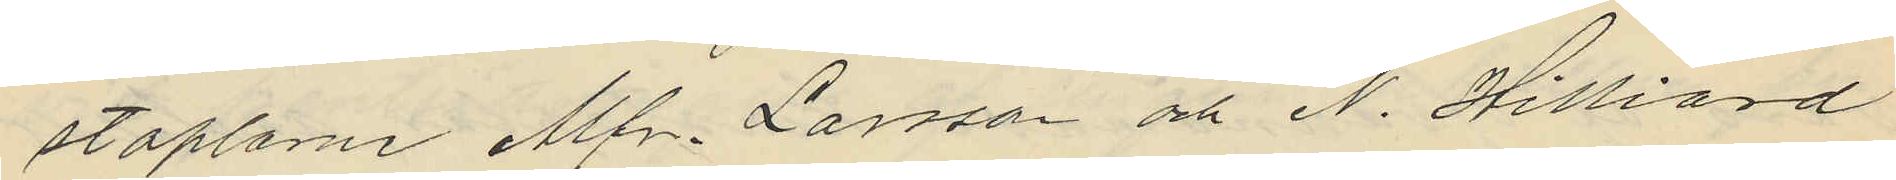staplarne Alfr. Larsson och N. Hilliard
